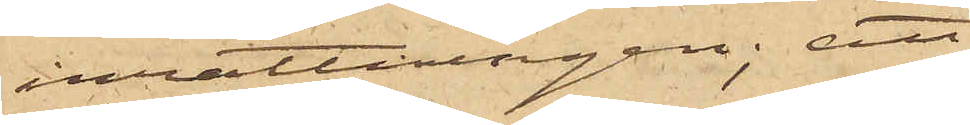inrättningen; att
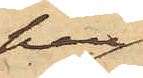han
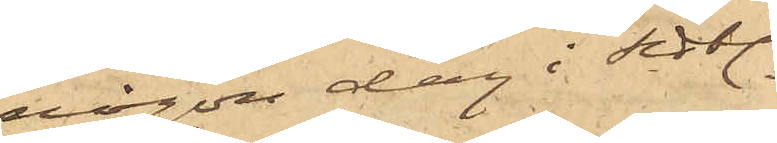någon dag i sist.
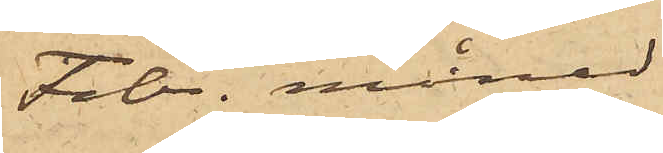Febr. månad
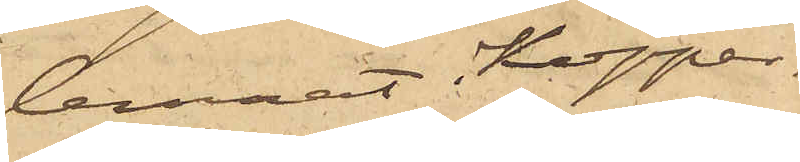lemnat Koppar¬
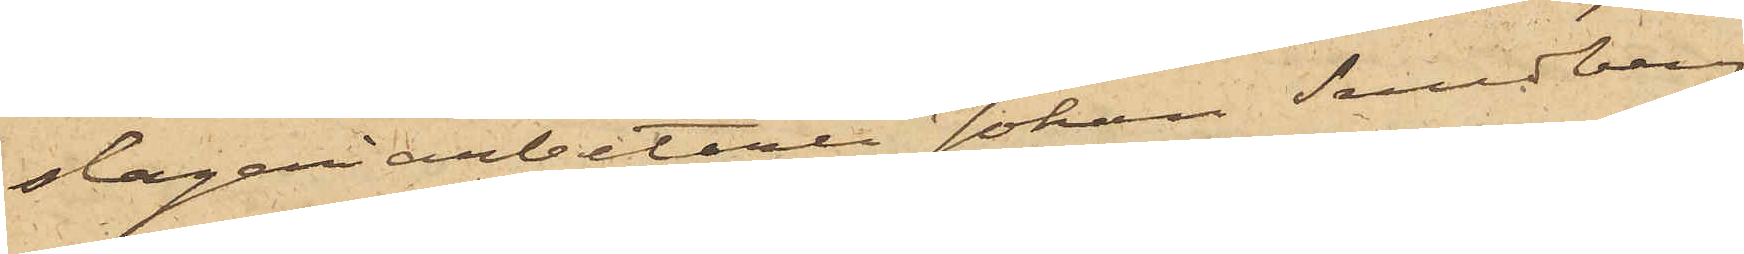slageriarbetaren Johan Sundberg
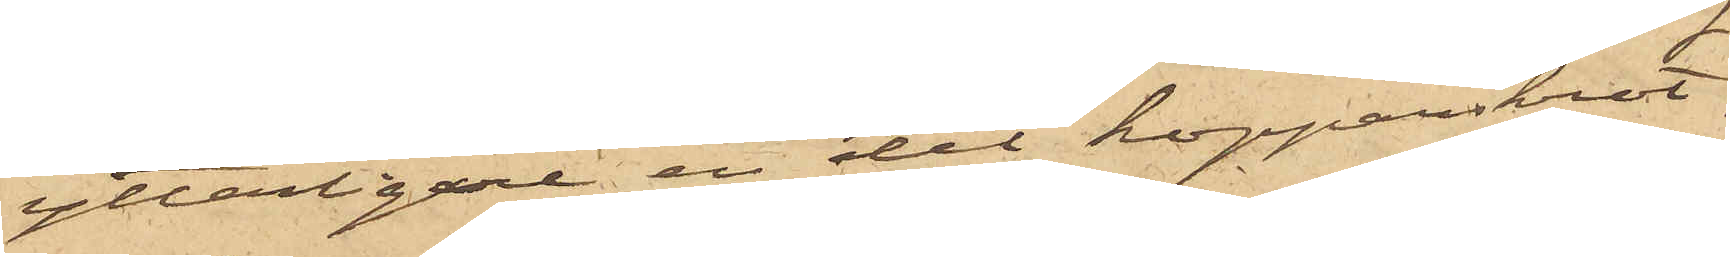ytterligare en del kopparskrot,
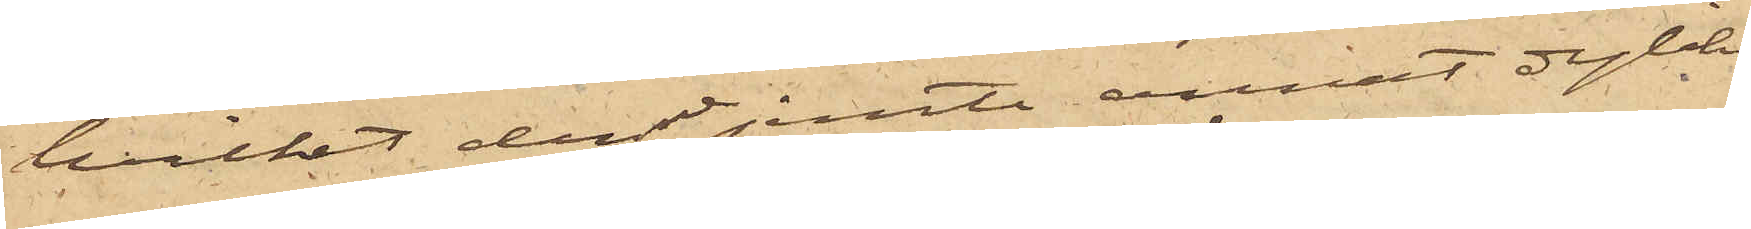hvilket denne jemte annat dylikt
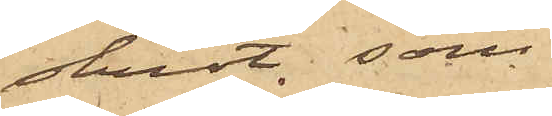skrot, som
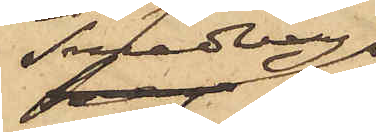Sundberg
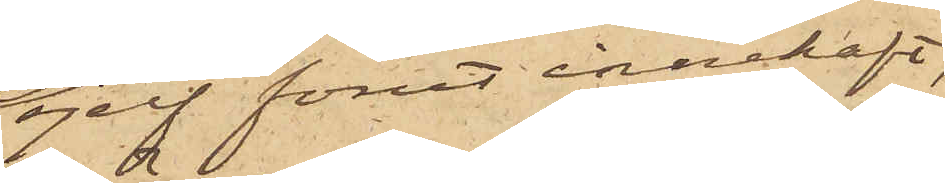sjelf förut innehaft,
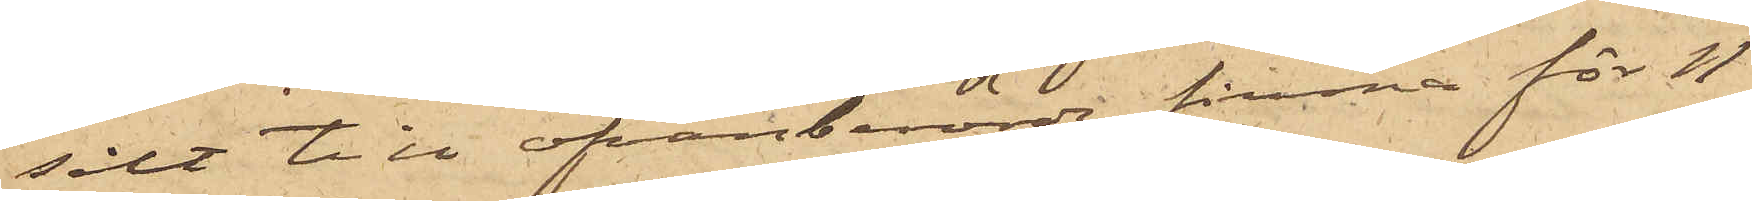sålt till ofvanberörde firma för 11
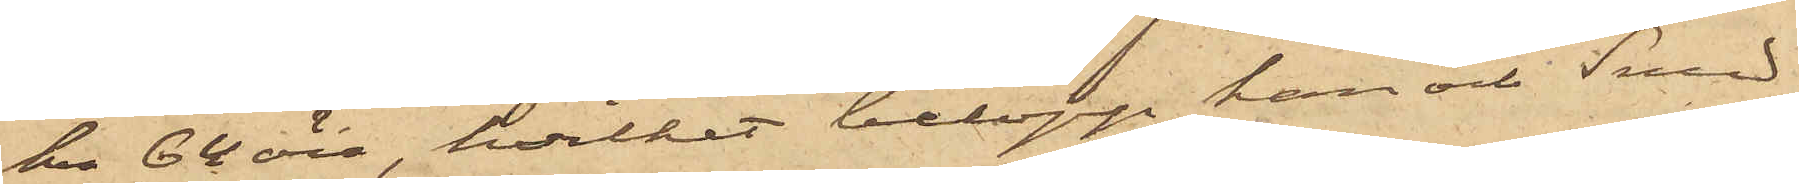kr 64 öre, hvilket belopp han och Sund¬
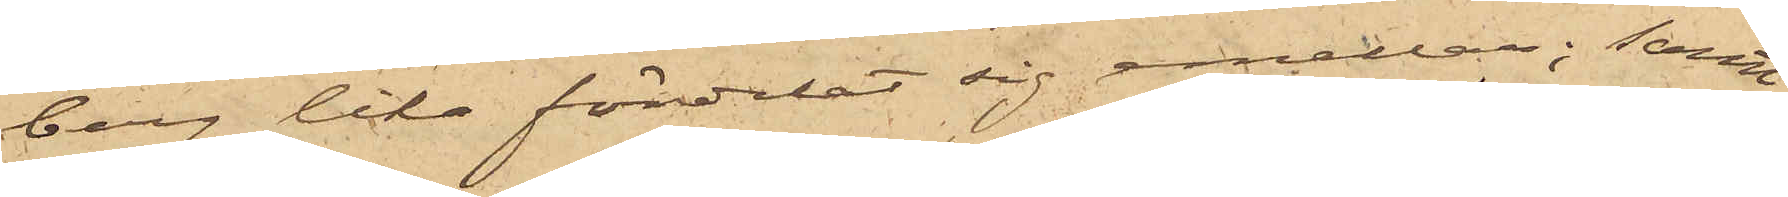berg lika fördelat sig emellan; samt
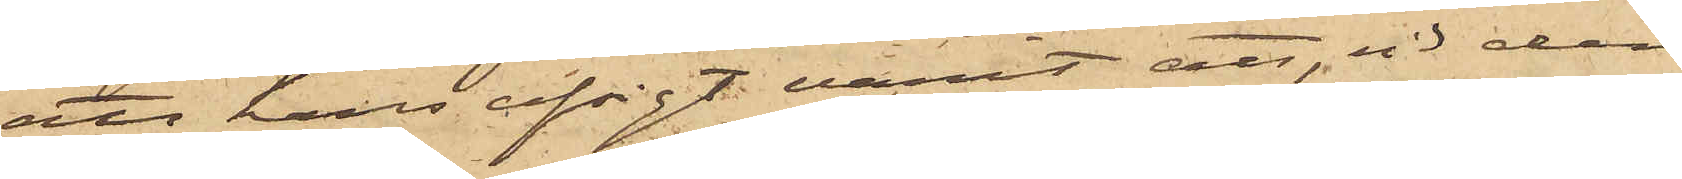att hans afsigt varit att, vid den
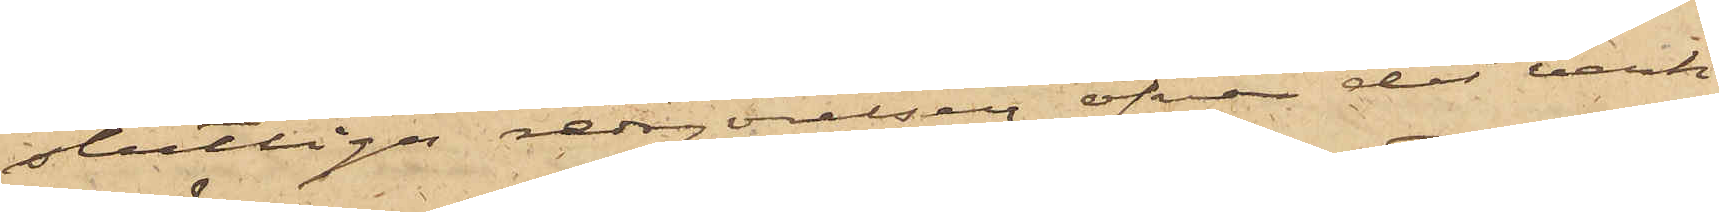slutliga redogörelsen öfver det verk¬
